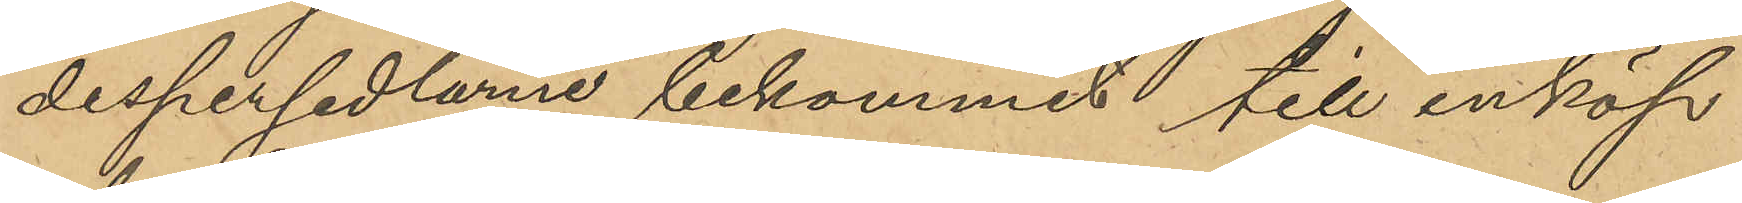despersedlarne bekommit till inköp
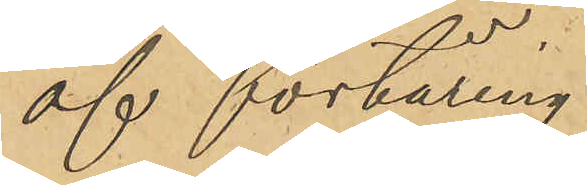af förtäring.
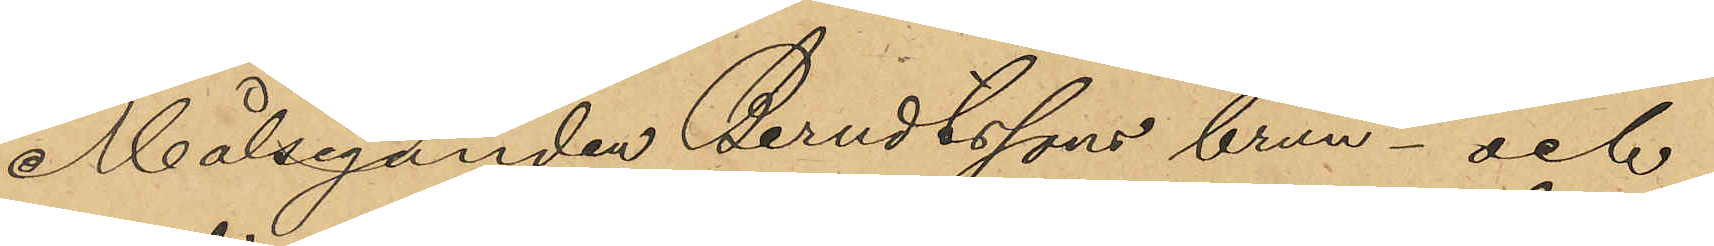Målseganden Berndtssons brun- och
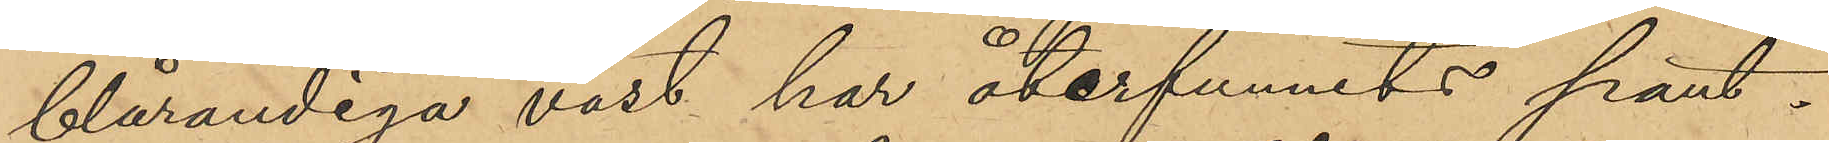blårandiga väst har återfunnits pant¬
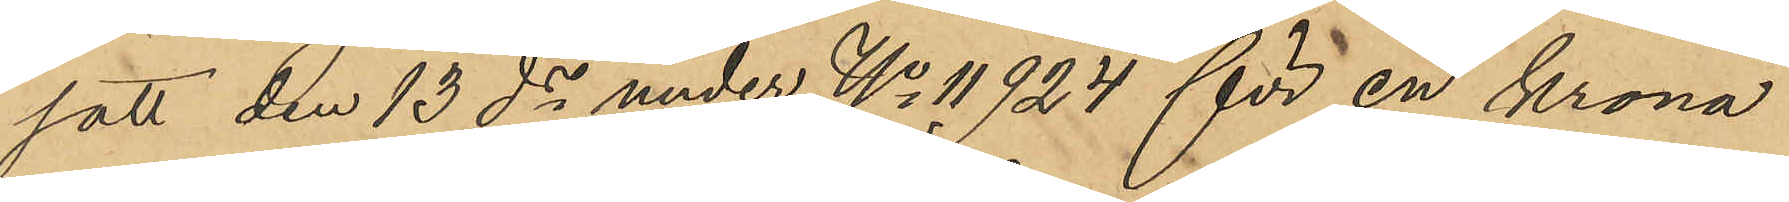satt den 13 ds under No 11924 för en krona
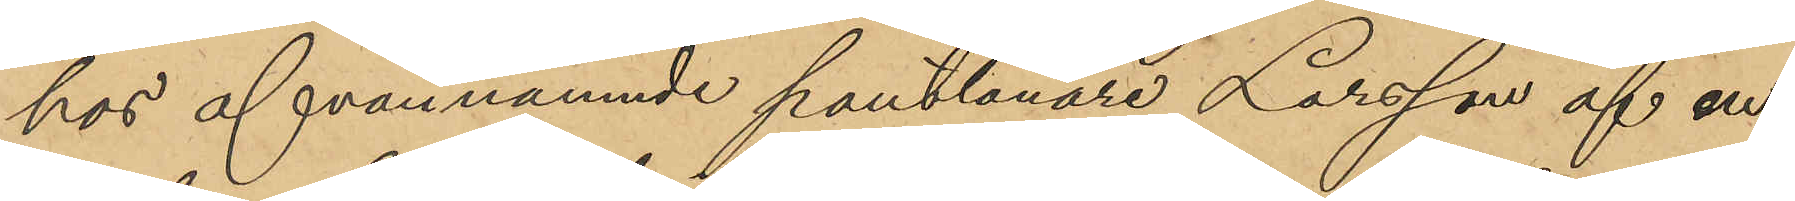hos ofvannämnde pantlånare Larsson af en
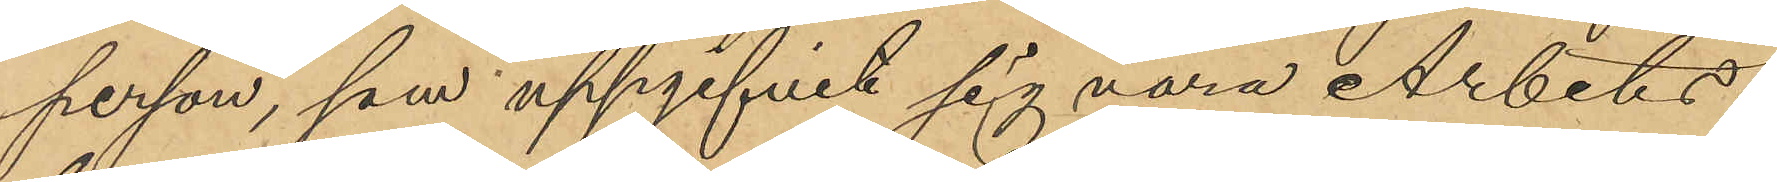person, som uppgifvit sig vara Arbets¬
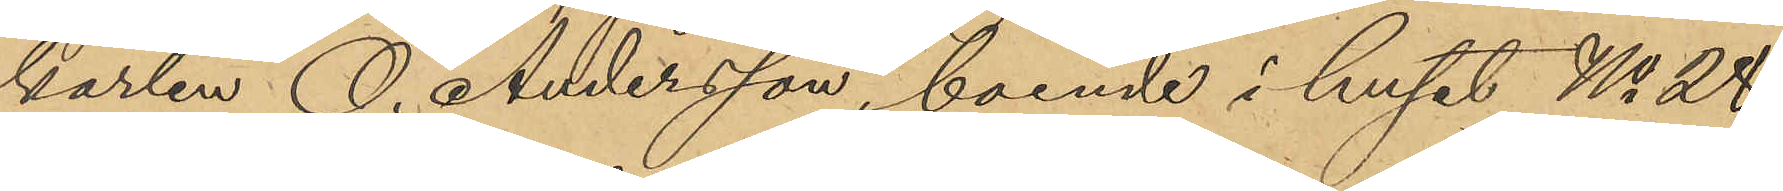karlen O. Andersson, boende i huset No 28
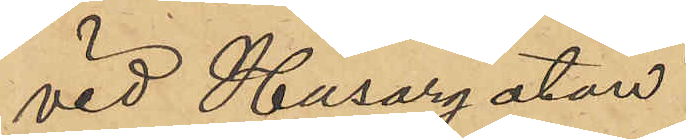vid Husargatan.
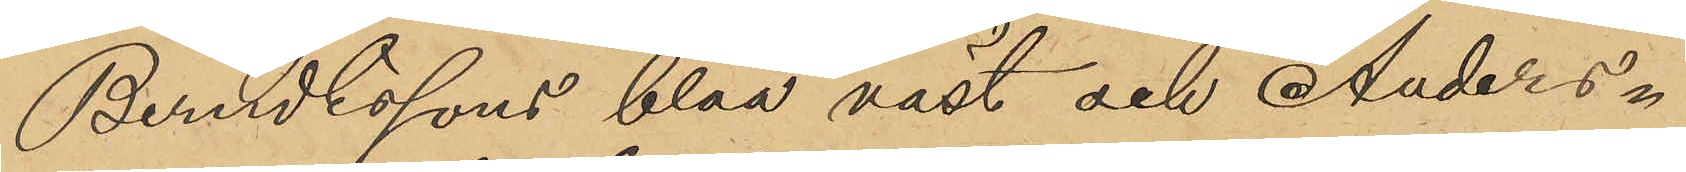Berndtssons blåa väst och Anders¬
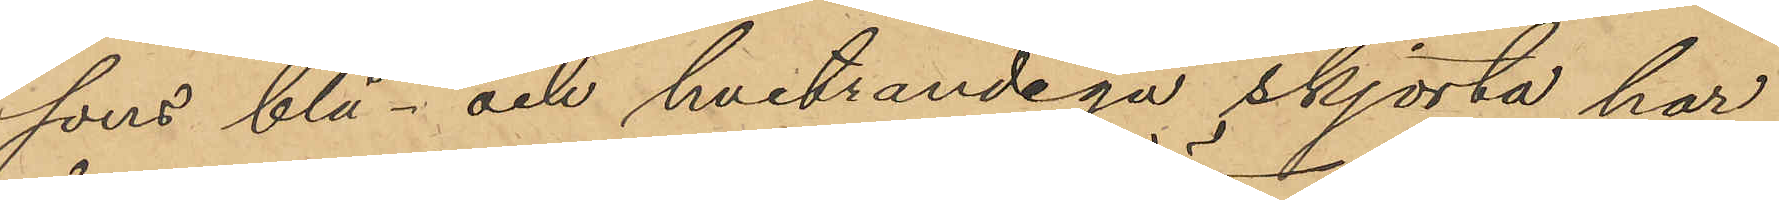sons blå- och hvitrandiga skjorta har
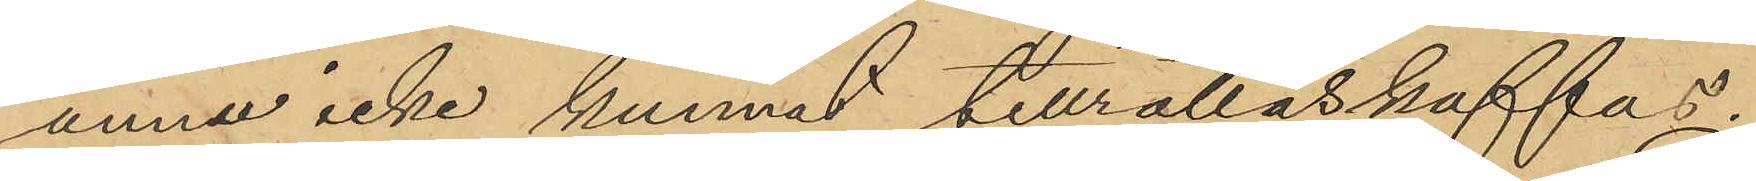ännu icke kunnat tillrättaskaffas.
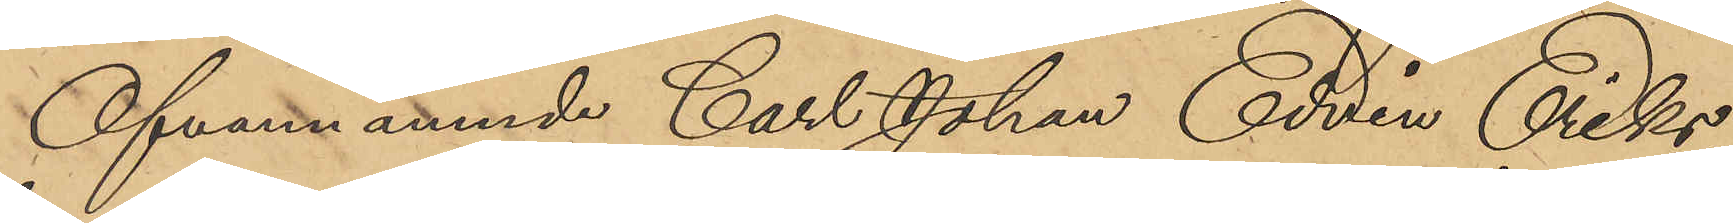Ofvannämnde Carl Johan Edvin Eriks¬
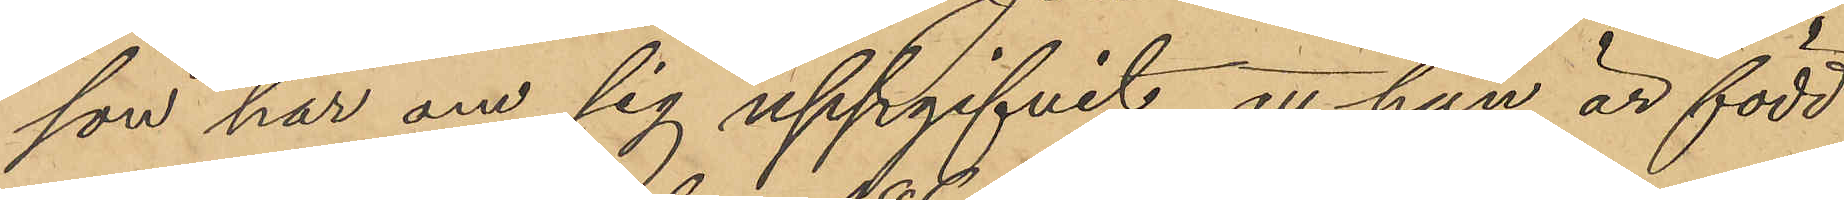son har om sig uppgifvit, att han är född
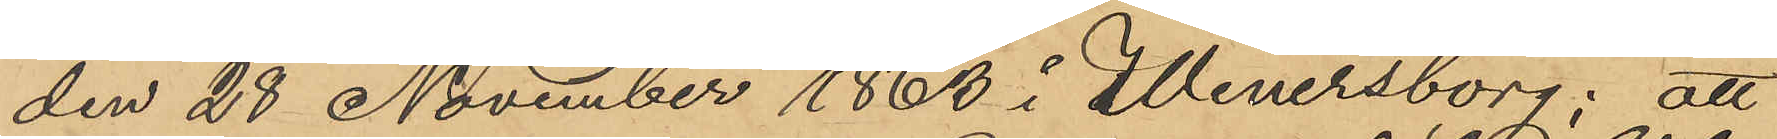den 28 November 1863 i Wenersborg; att
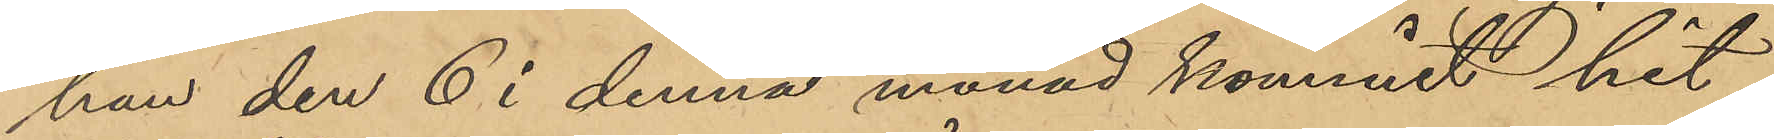han den 6 i denna månad kommit hit
